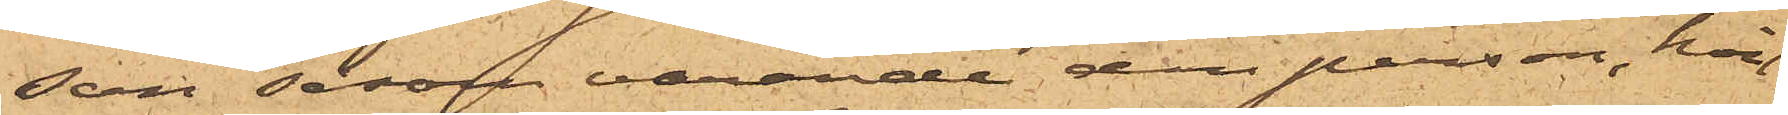son såsom varande den person, hvil¬
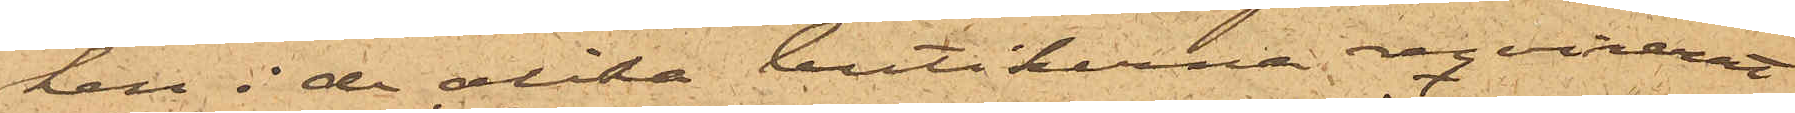ken i de olika boutikerna reqvirerat
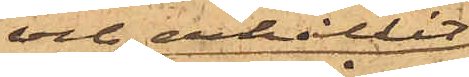och erhållit
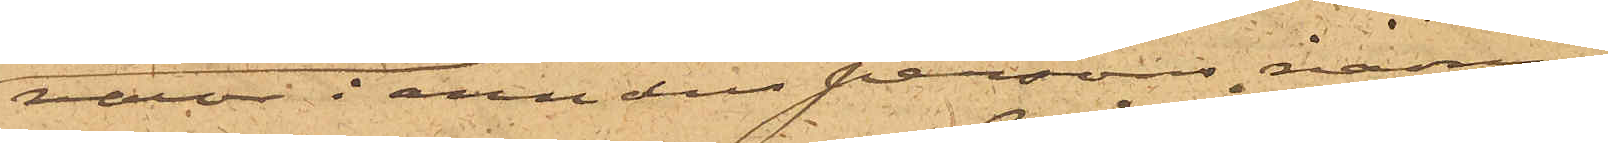varor i annan persons namn.
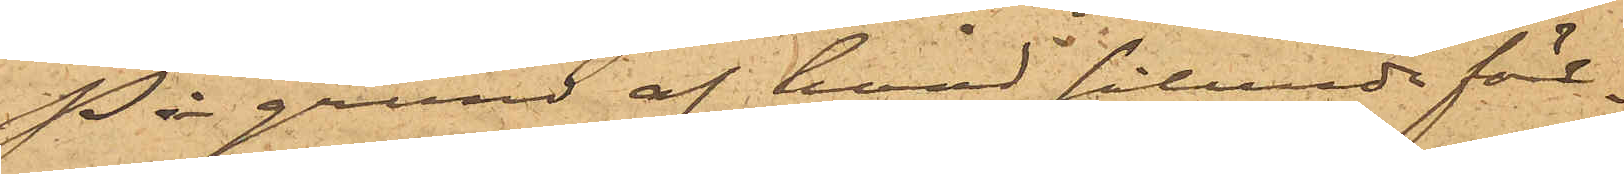På grund af hvad sålunda före¬
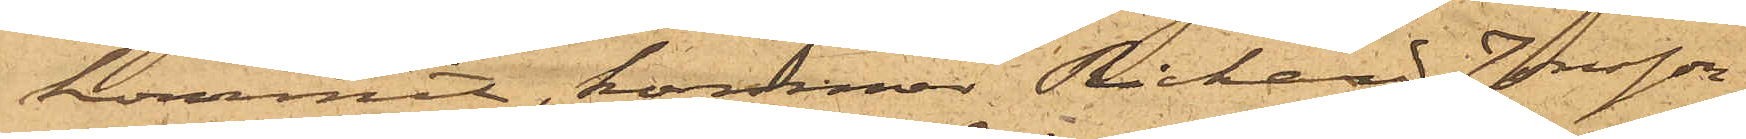kommit, kommer Rickard Jonsson,
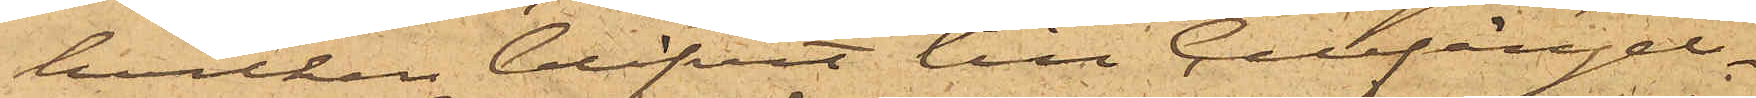hvilken blifvit till Cellfängel¬
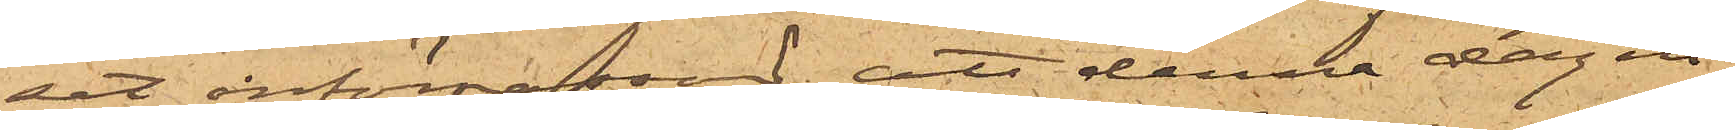set införpassad, att denna dag in¬
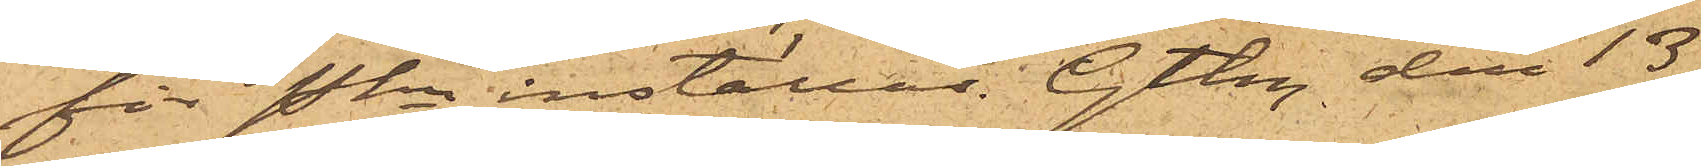för Pkn inställas. Gtbg den 13
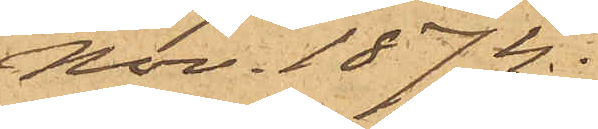Nov. 1874.
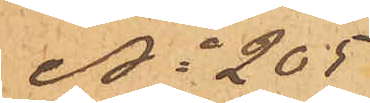No 205
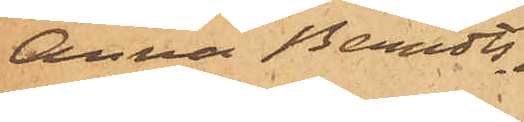Anna Berndts¬
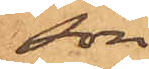son
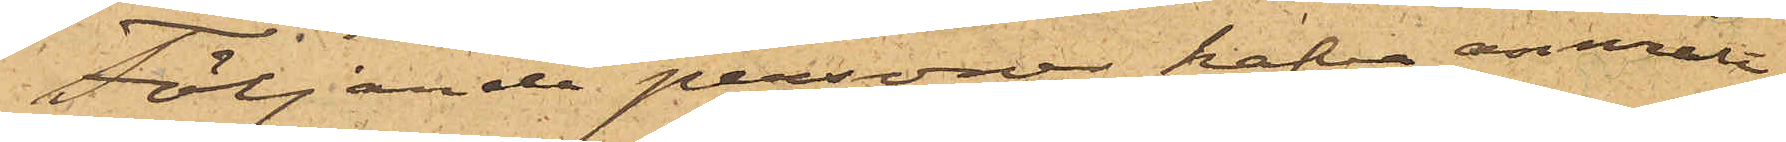Följande personer hafva anmält:
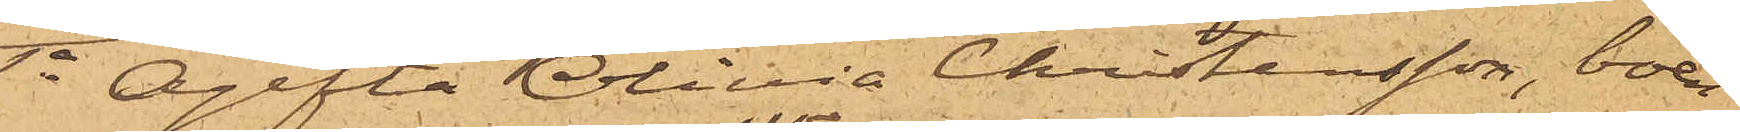1o Ogifta Olivia Christensson, boen¬
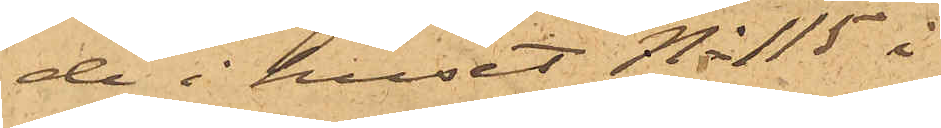de i huset No 115 i 
